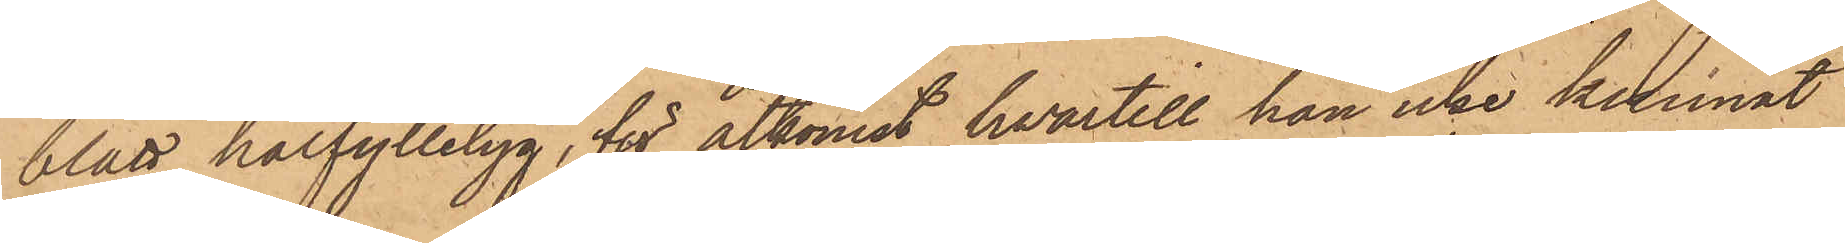blått halfylletyg, för åtkomst hvartill han icke kunnat
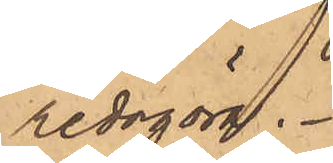redogöra.
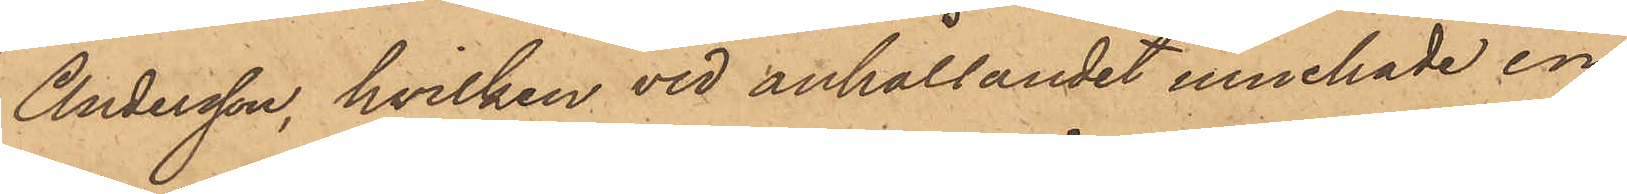Andersson, hvilken vid anhållandet innehade en
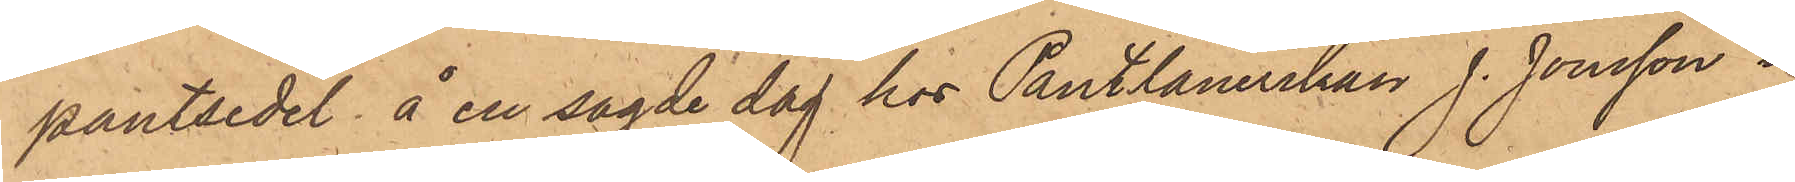pantsedel å en sagde dag hos Pantlånerskan J. Jonsson i
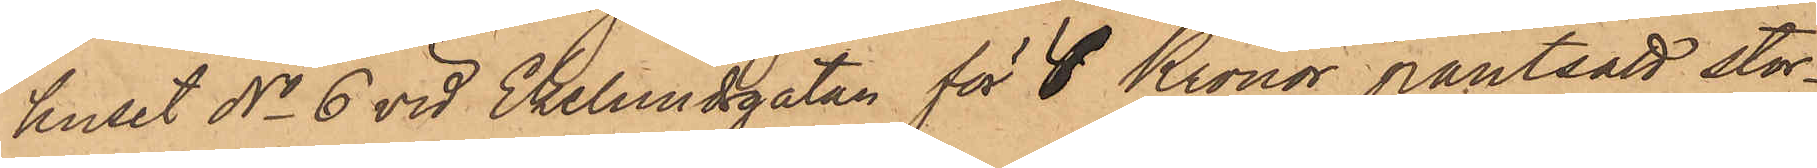huset No 6 vid Ekelundsgatan för 8 Kronor pantsatt stor¬
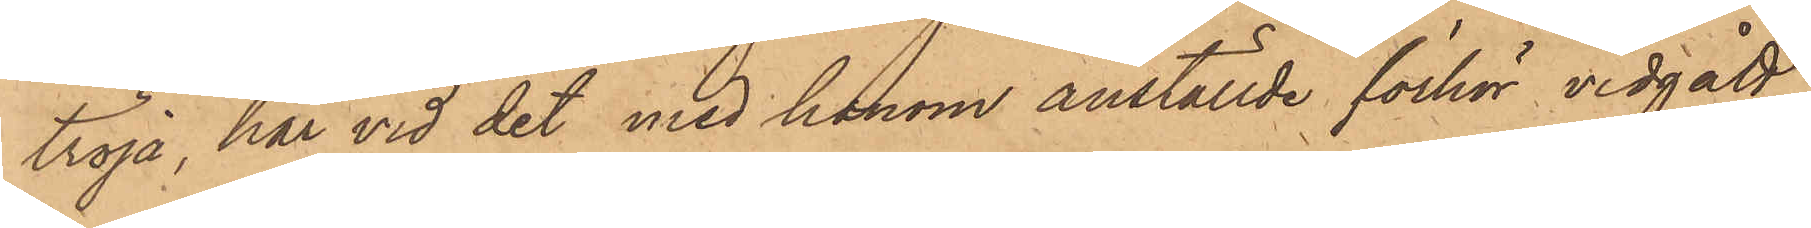tröja, har vid det med honom anställde förhör vidgått
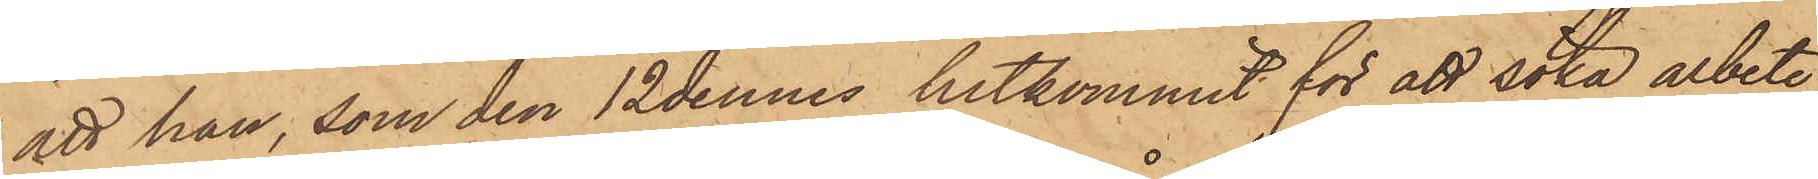att han, som den 12 dennes hitkommit för att söka arbete
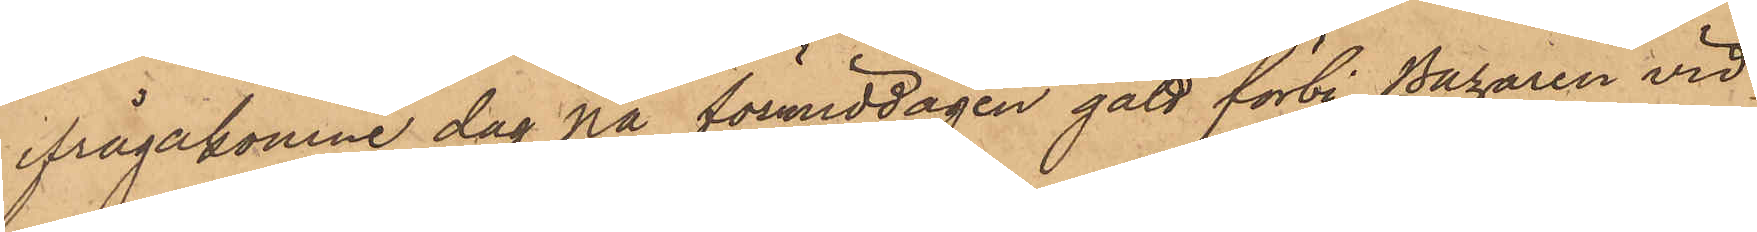ifrågakomne dag på förmiddagen gått förbi Bazaren vid
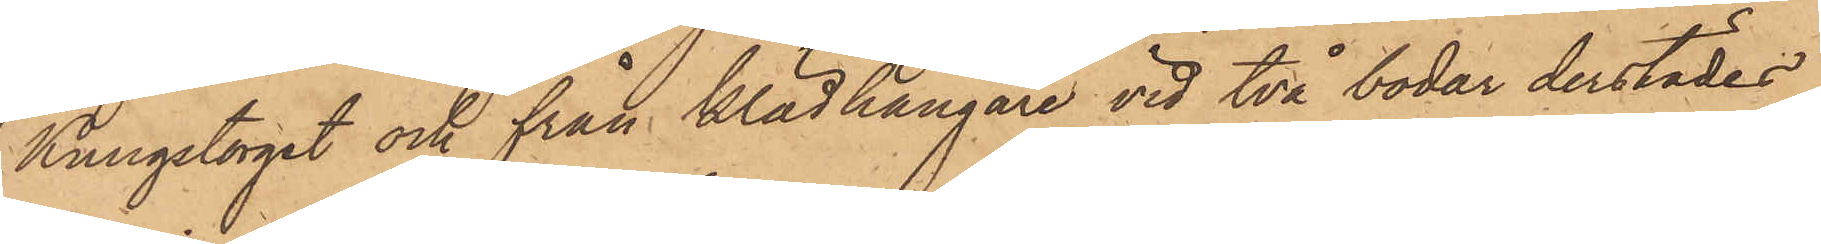Kungstorget och från klädhängare vid två bodar derstädes
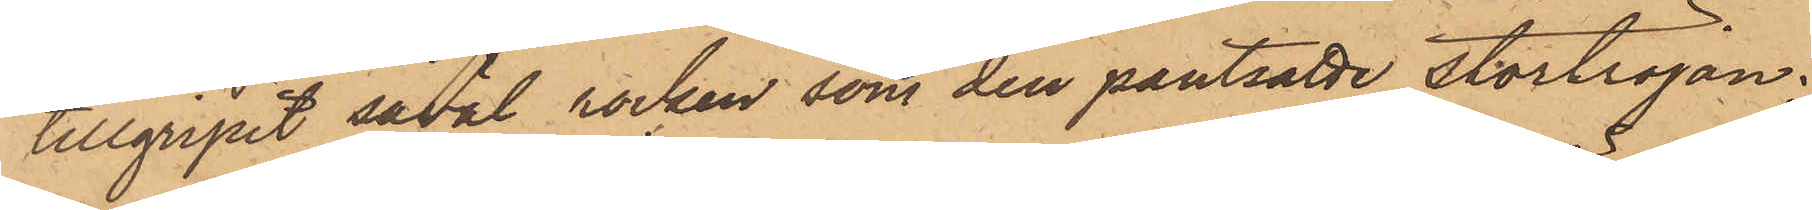tillgripit såväl rocken, som den pantsatte stortröjan;
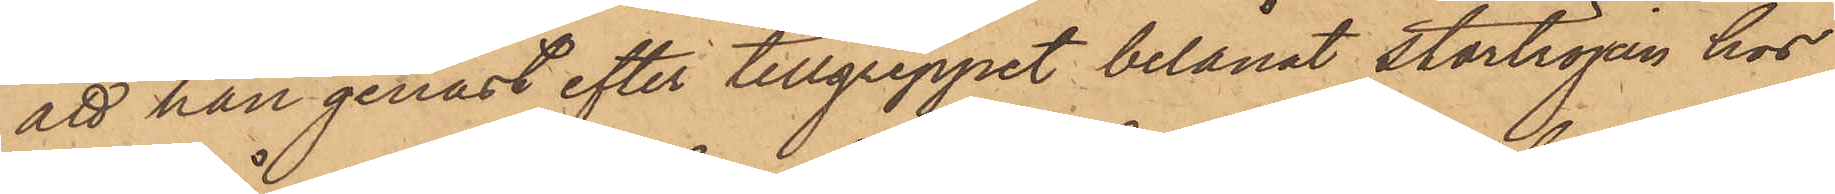att han genast efter tillgreppet belånat stortröjan hos
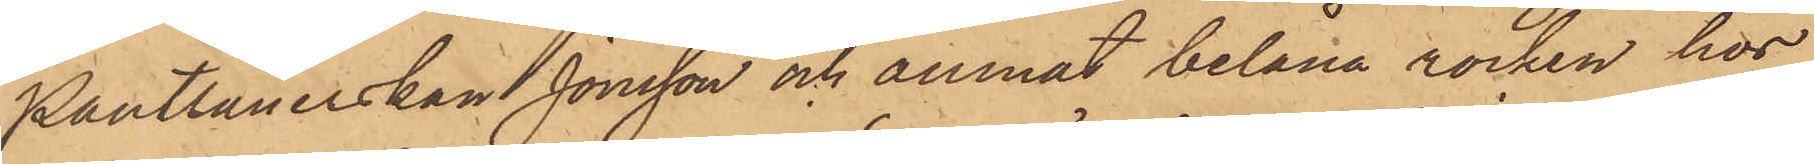Pantlånerskan Jonsson och ämnat belåna rocken hos
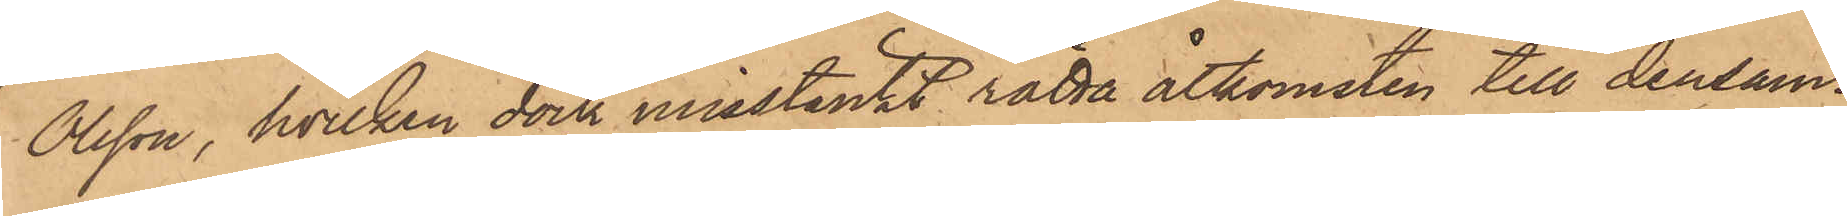Olsson, hvilken som misstänkt rätta åtkomsten till densam¬
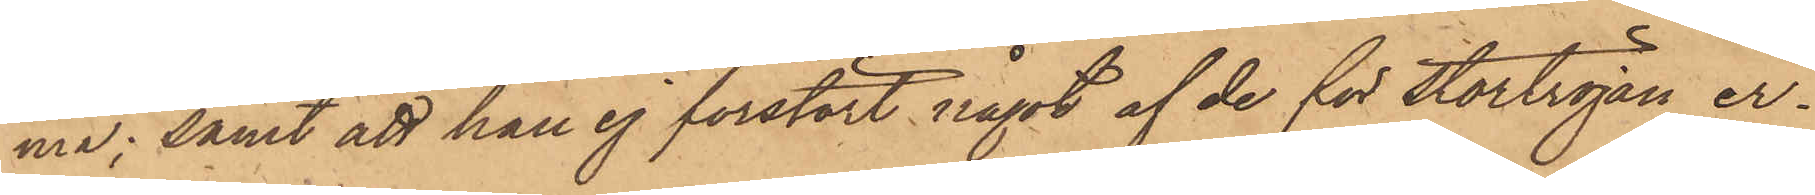ma; samt att han ej förstört något af de för stortröjan er¬
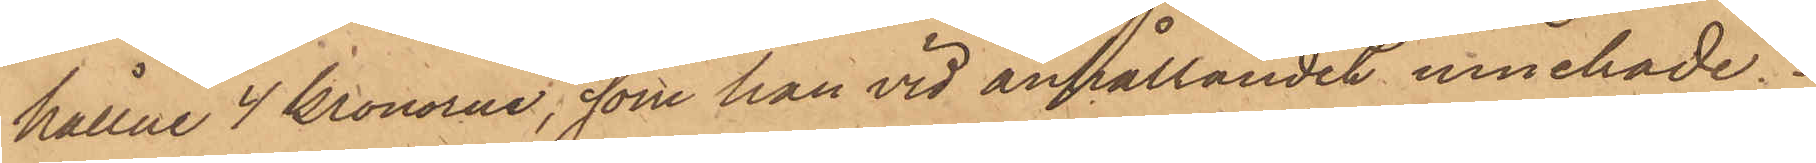hållne 4 Kronorna, som han vid anhållandet innehade.
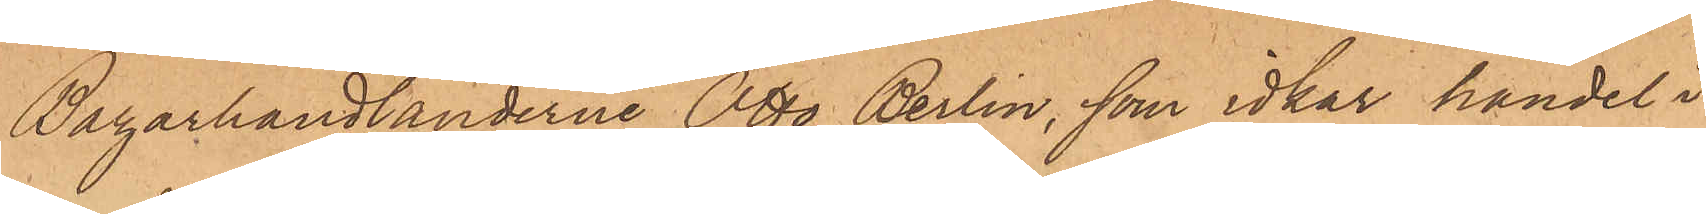Bazarhandlanderne Otto Berlin, som idkar handel i
